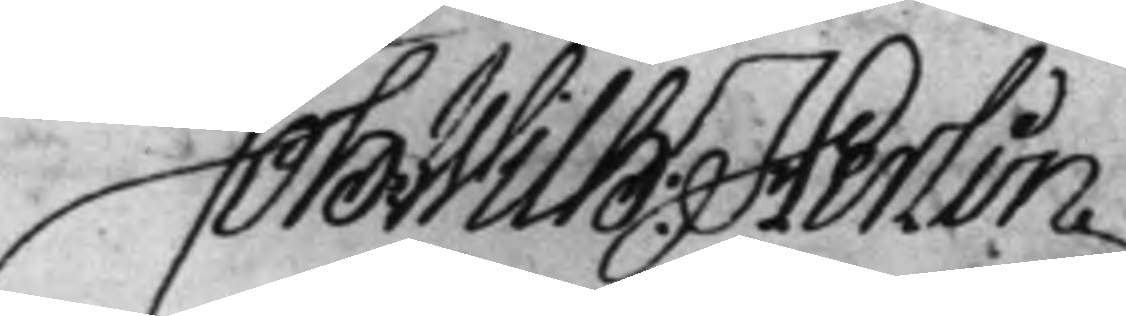Joh: Wilh: Herlin
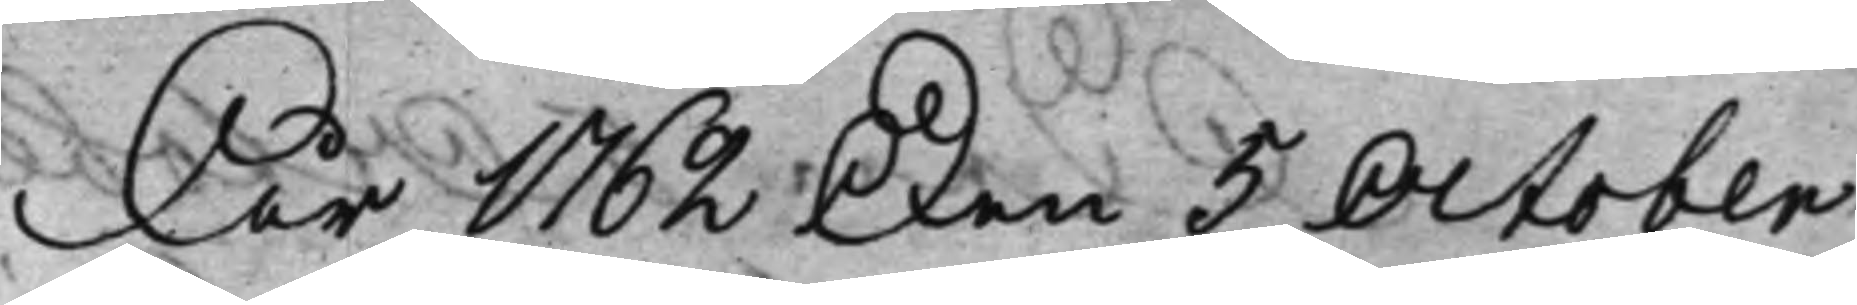År 1762 den 5 October
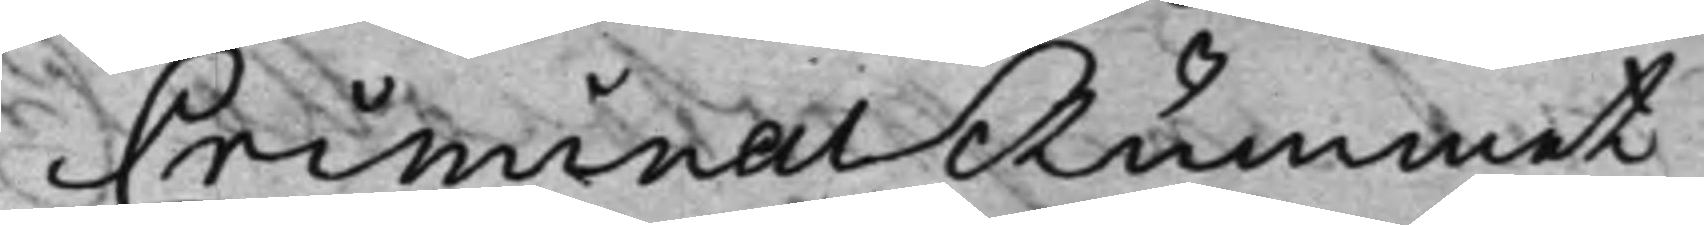CriminalRummet
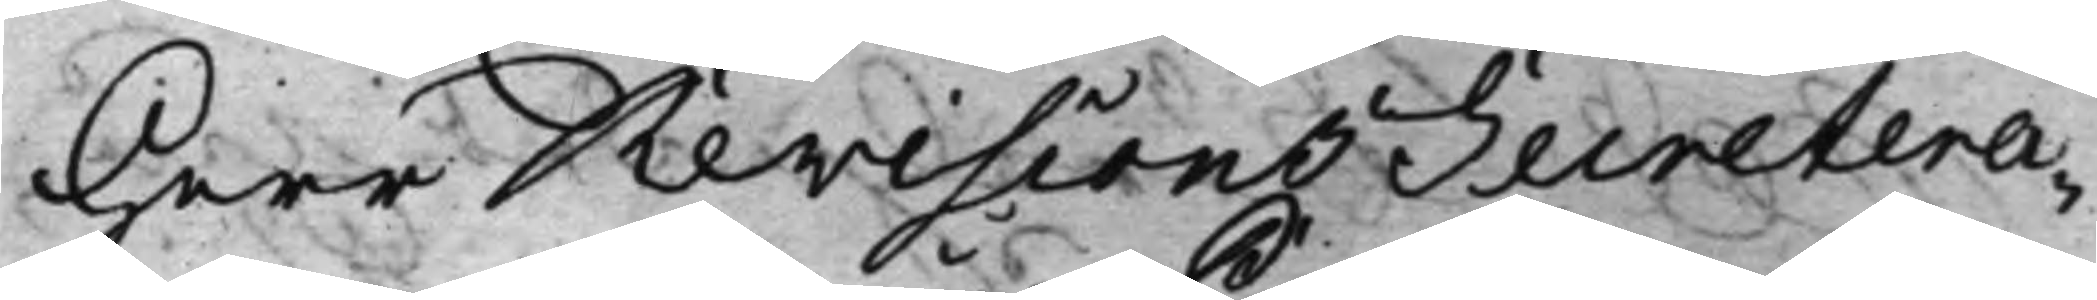Herr Revisions Secretera¬
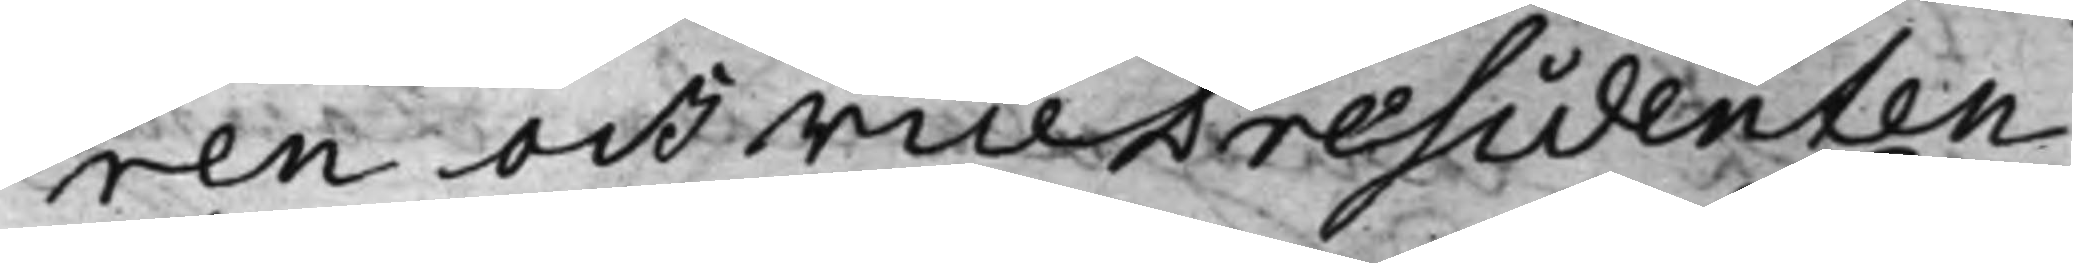ren och Vice Præsidenten
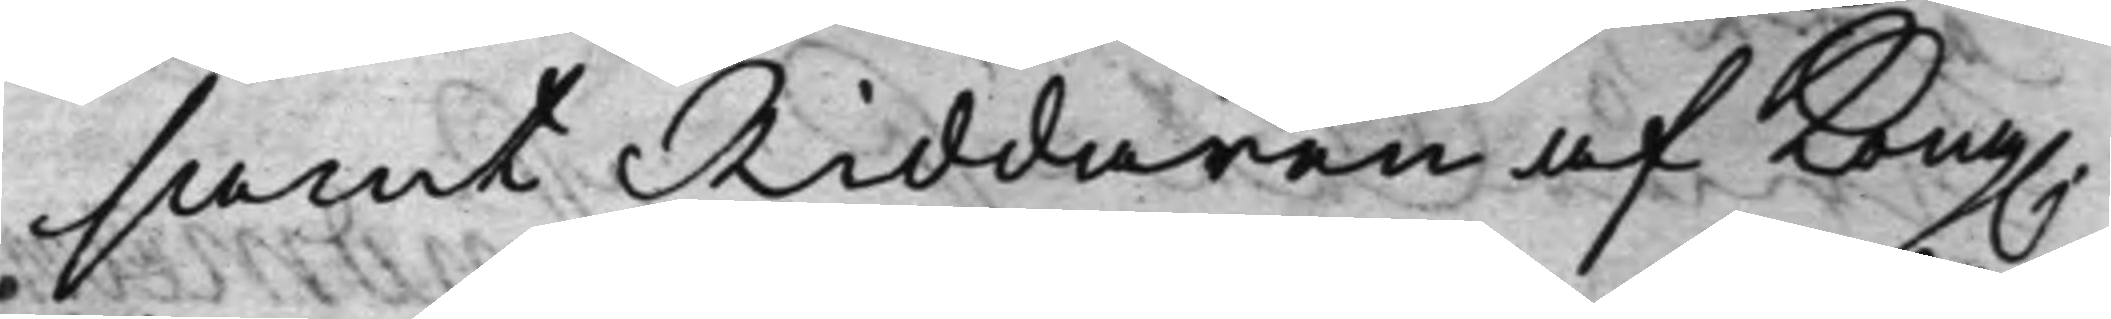samt Riddaren af Kong.
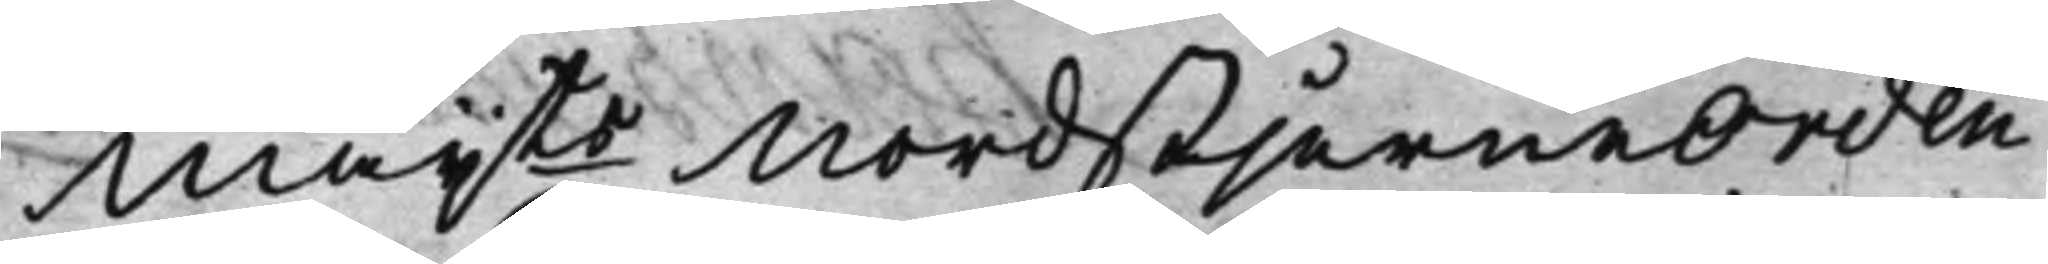Maijts NordstjerneOrden
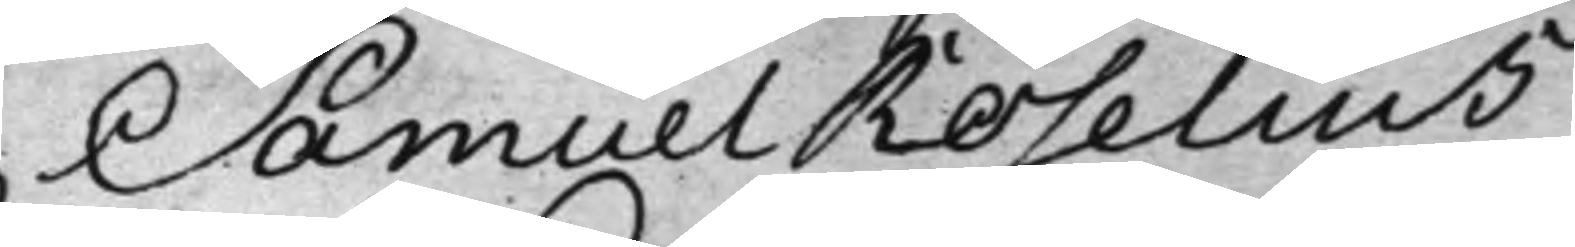Samuel Roselius
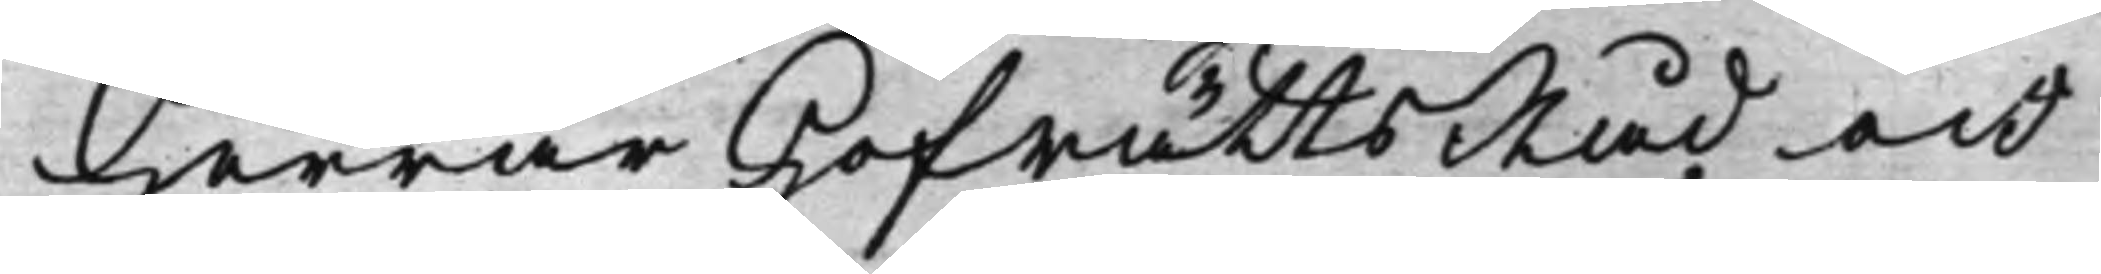Herrar HofrättsRåd och
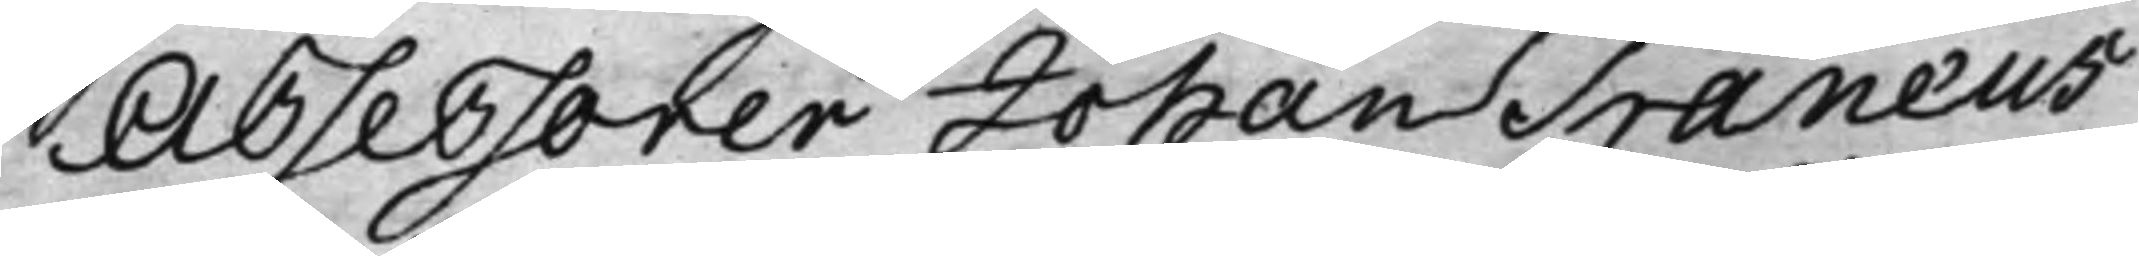Assessorer Johan Tranæus
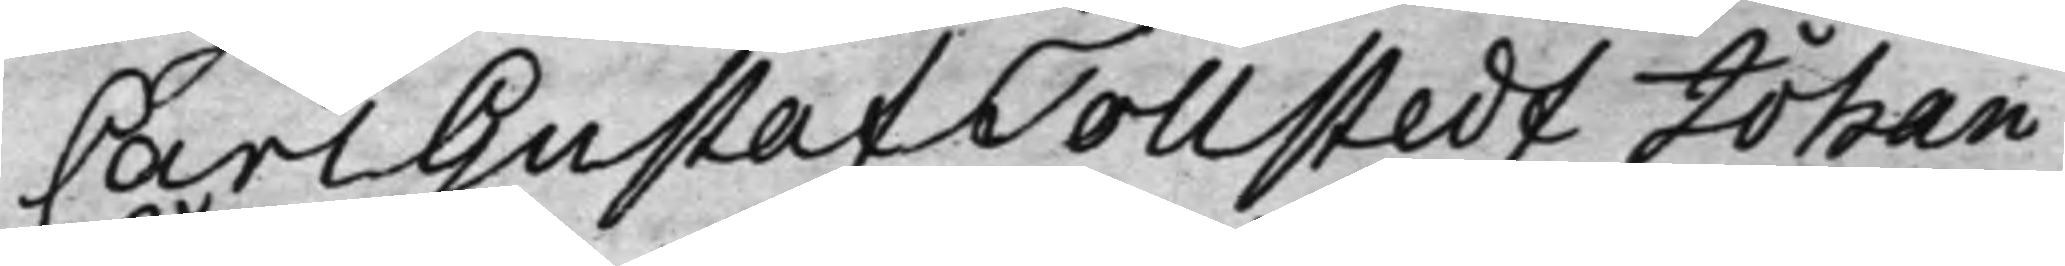Carl Gustaf Tollstedt Johan
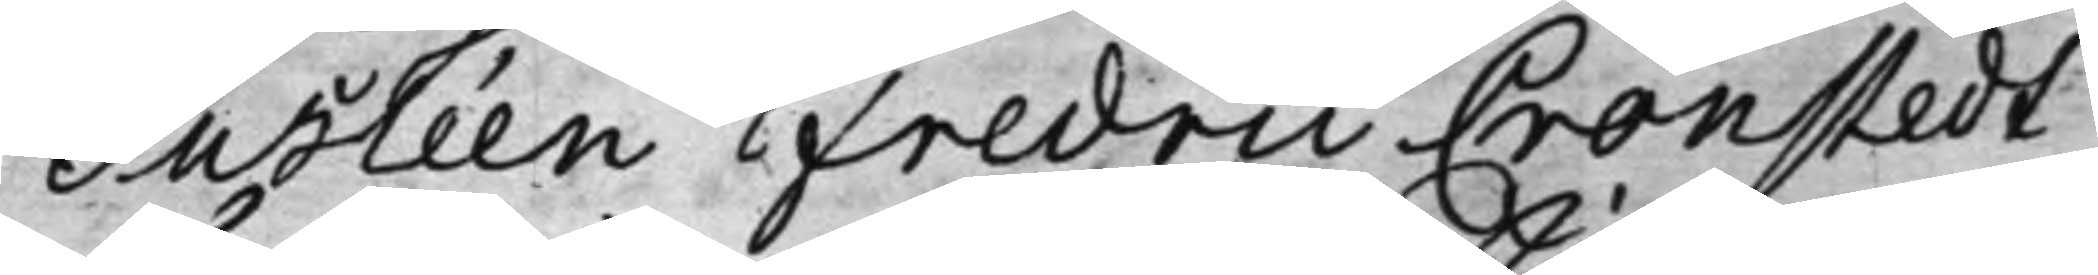Jusléen Fredric Cronstedt
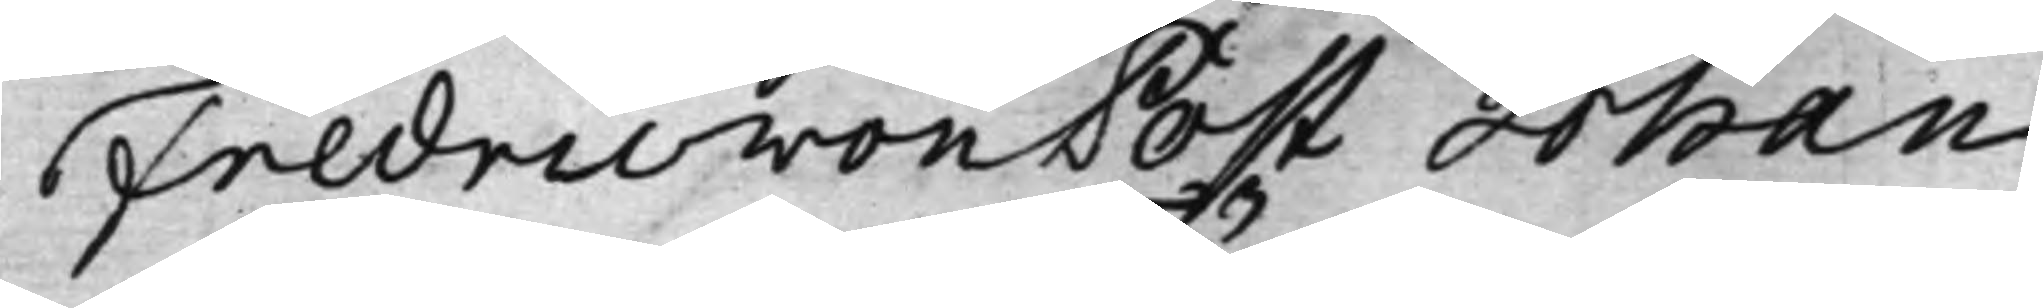Fredric von Post Johan
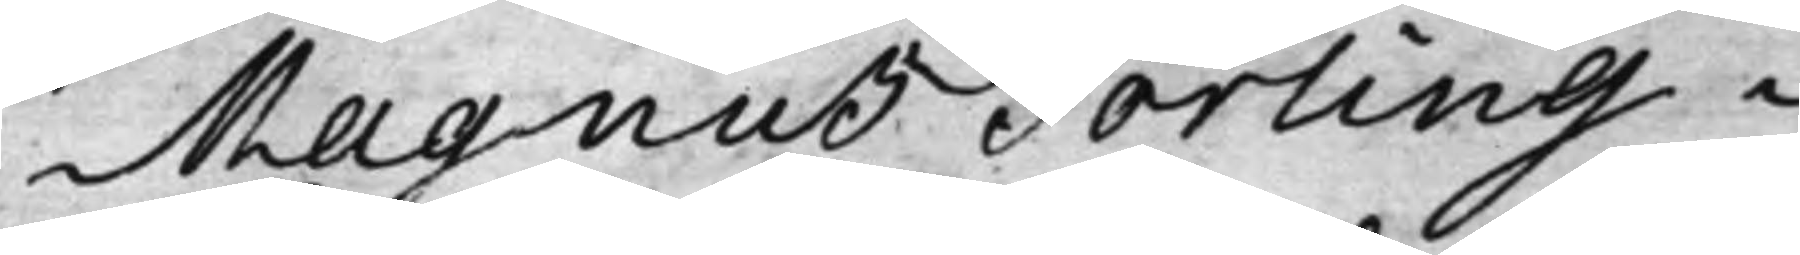Magnus Törling
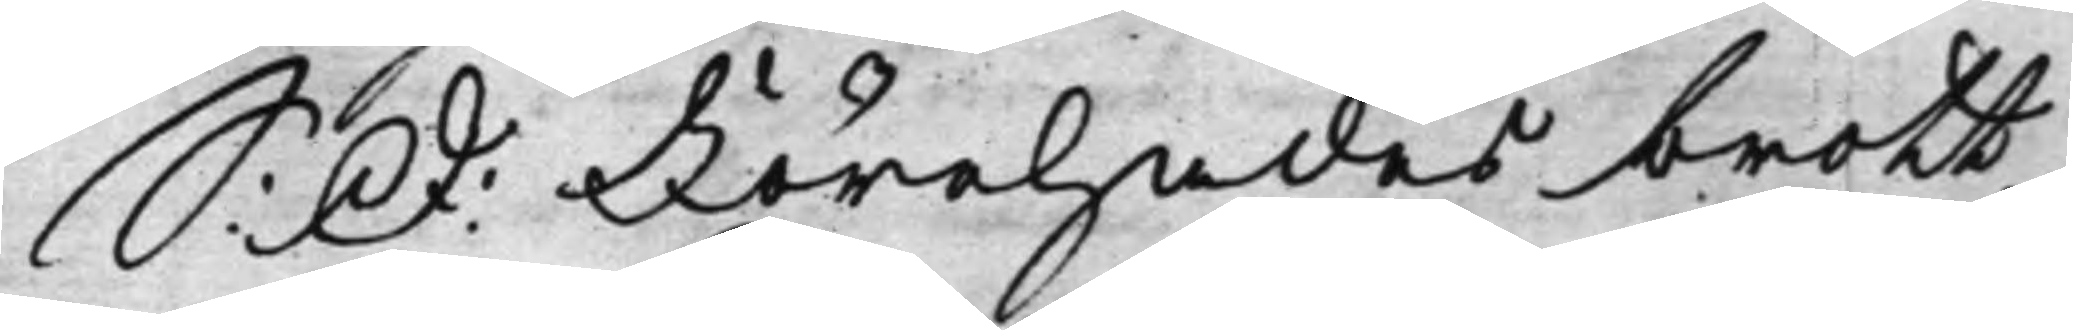S: D: Förehades brott¬
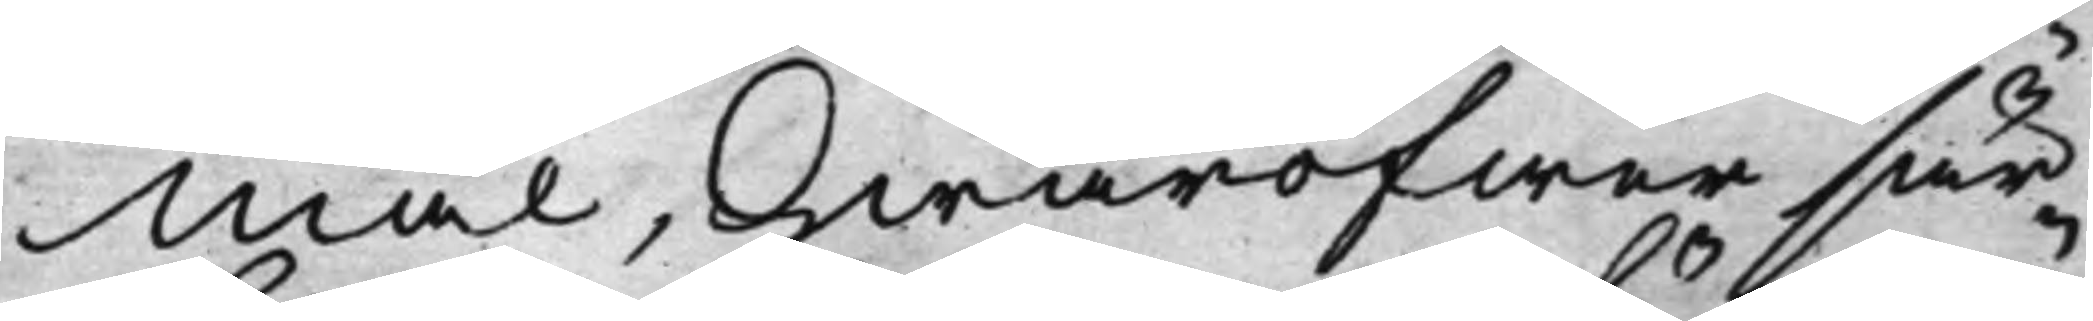Mål, hwaröfwer sär¬
